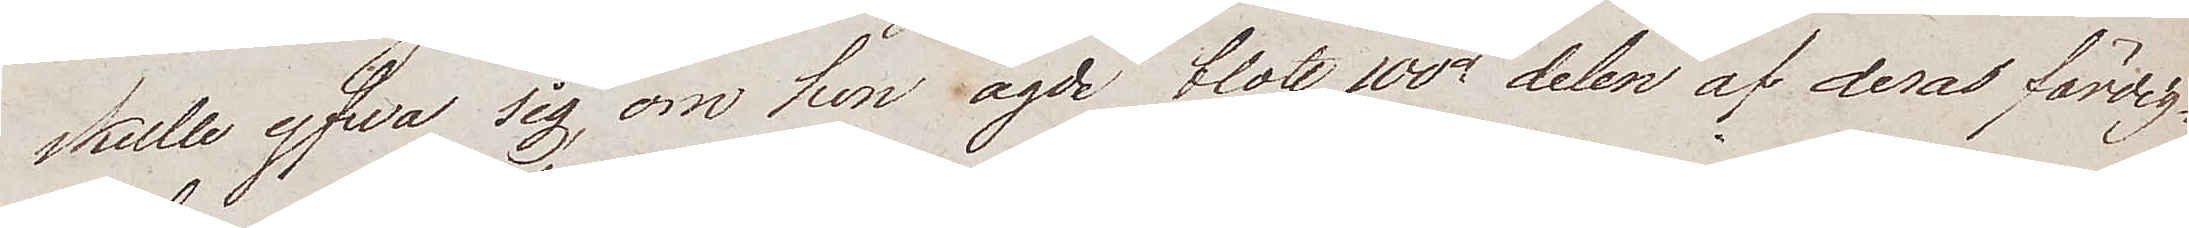skulle gfwa sig, om hon ägde blott 100de delen af deras färdig¬
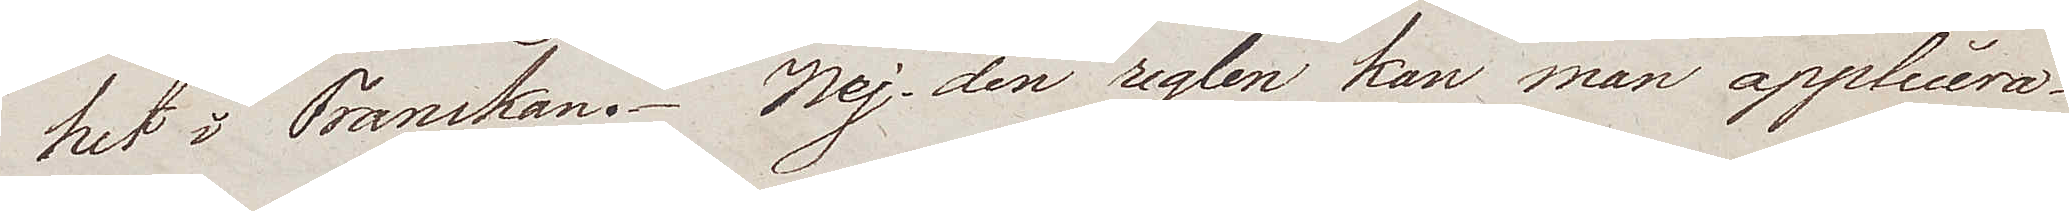het i Franskan. Nej, den reglen kan man applicera.
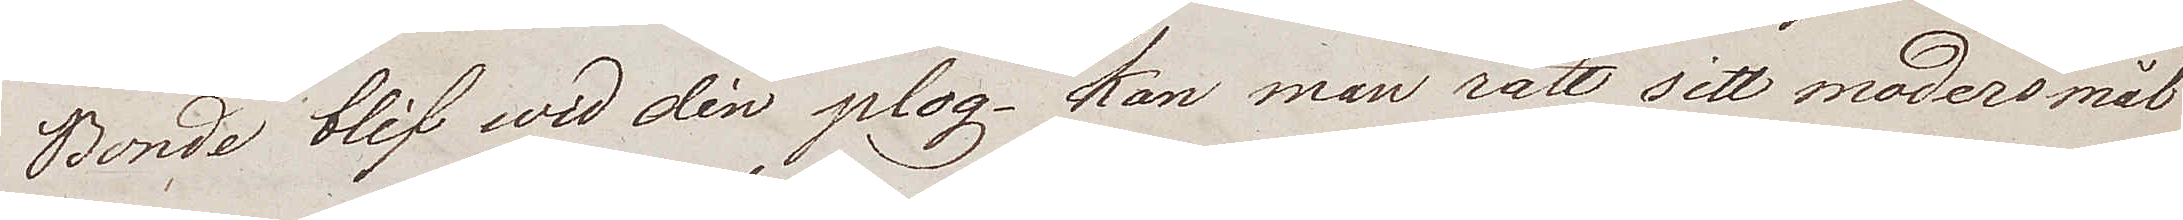Bonde blif wid din plog. Kan man rätt sitt modersmål
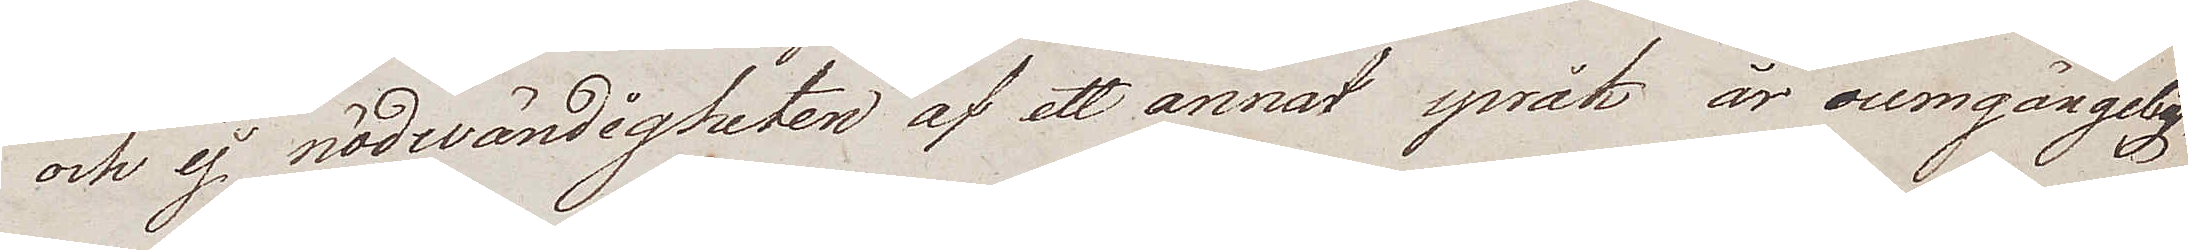och ej nödwändigheten af ett annat språk är oumgängelig,
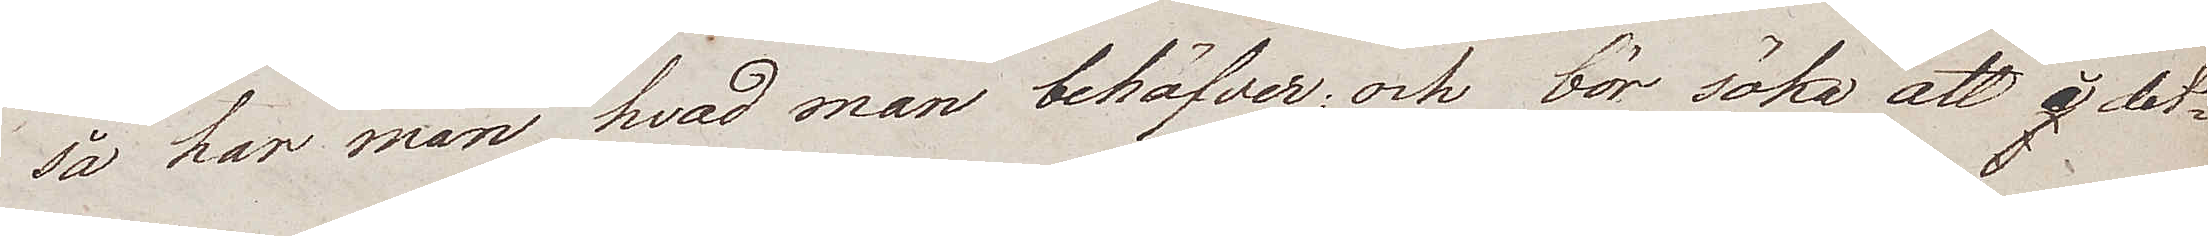så har man, hvad man behöfver; och bör söka att det¬
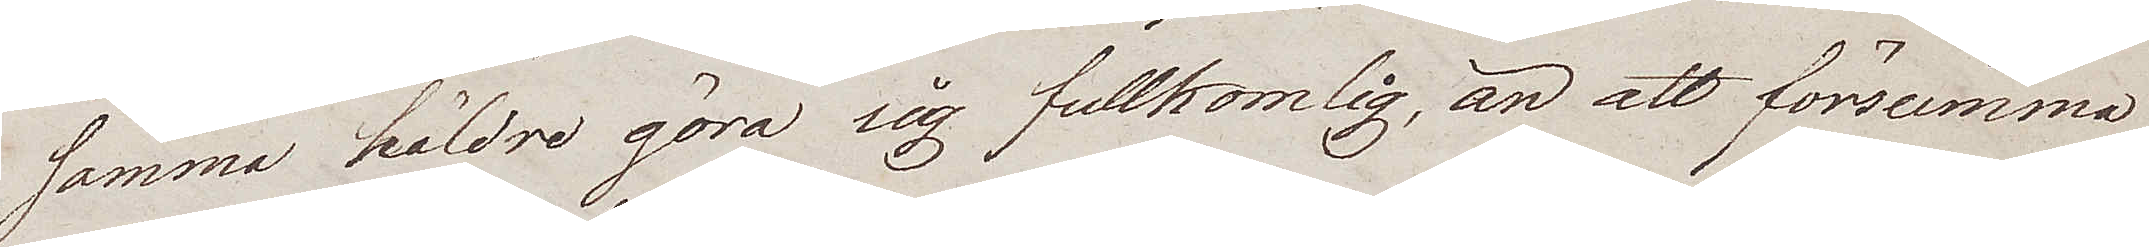samma häldre göra sig fullkomlig, än att försumma
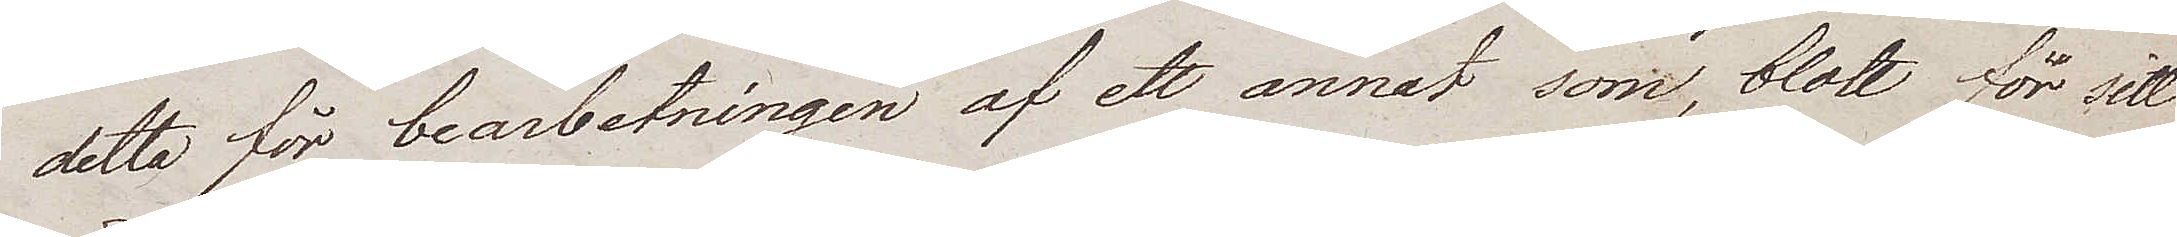detta för bearbetningen af ett annat som, blott för sitt
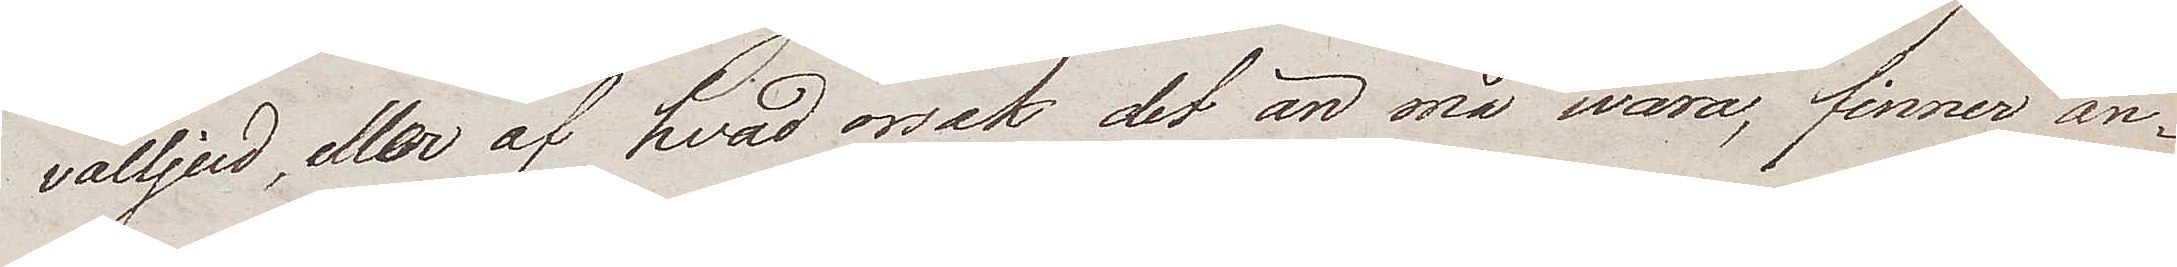välljud, eller af hvad orsak det än må wara, finner an¬
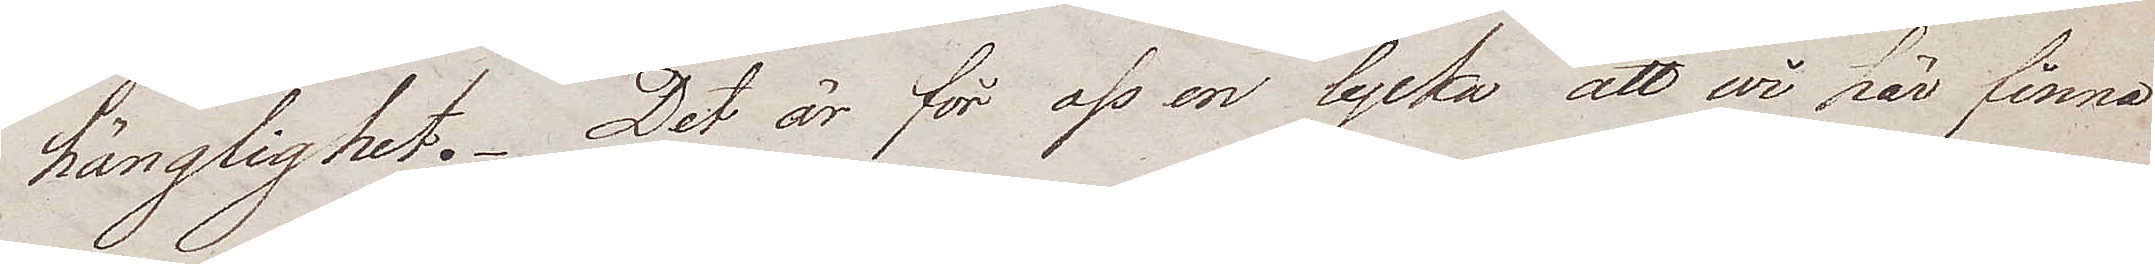hänglighet. Det är för oss en lycka att wi här finna
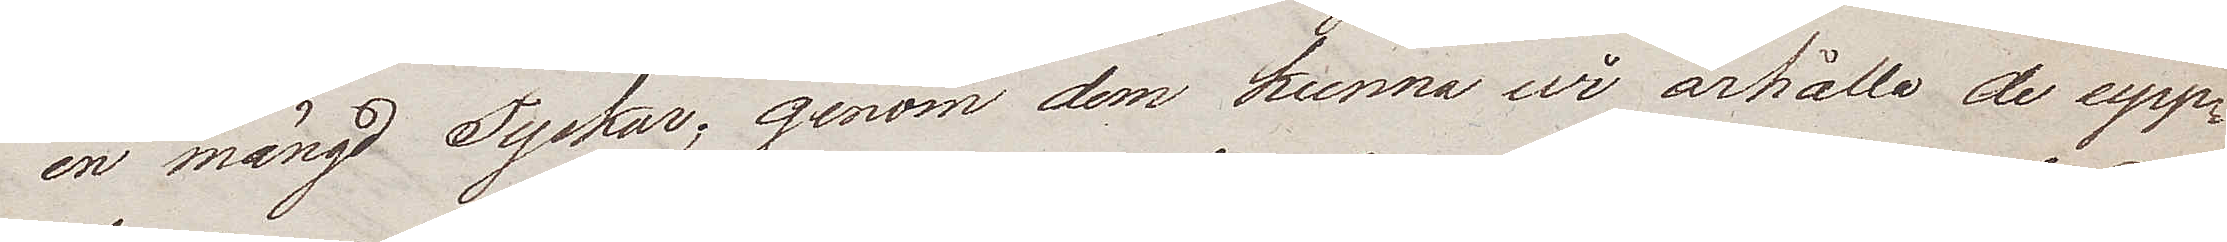en mängd Tyskar; genom dem kunna wi ärhålla de upp¬
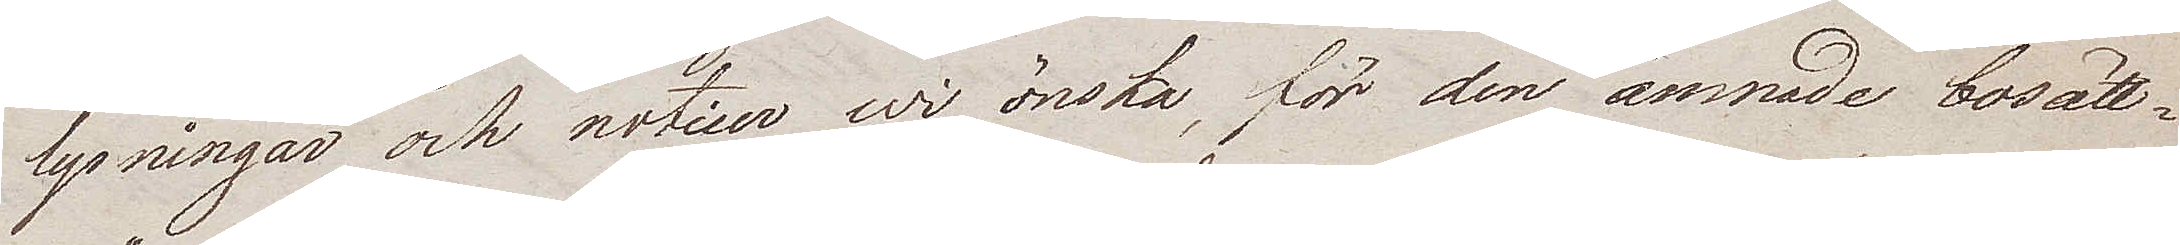lysningar och noticer wi önska, för den ämnade bosätt¬
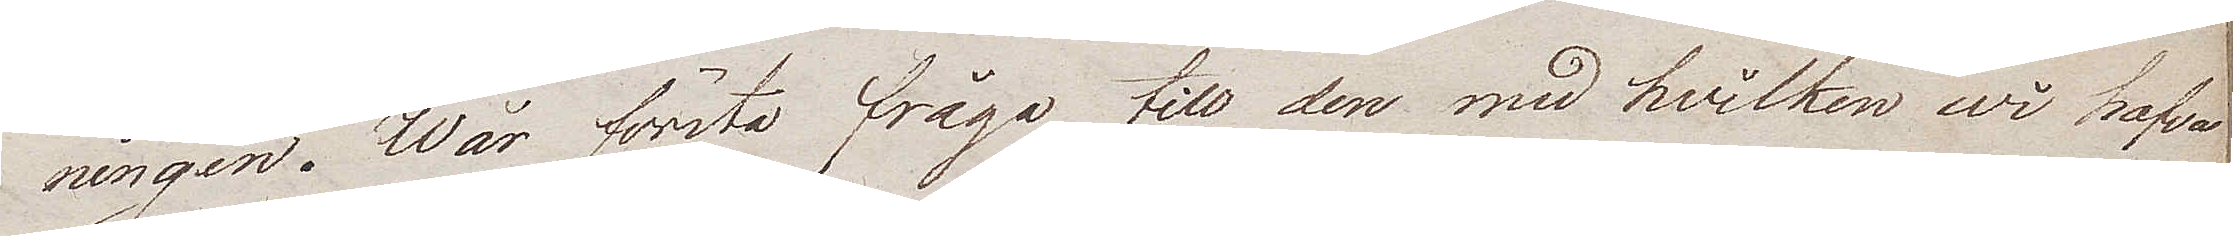ningen. Wår första fråga till den med hvilken wi hafva
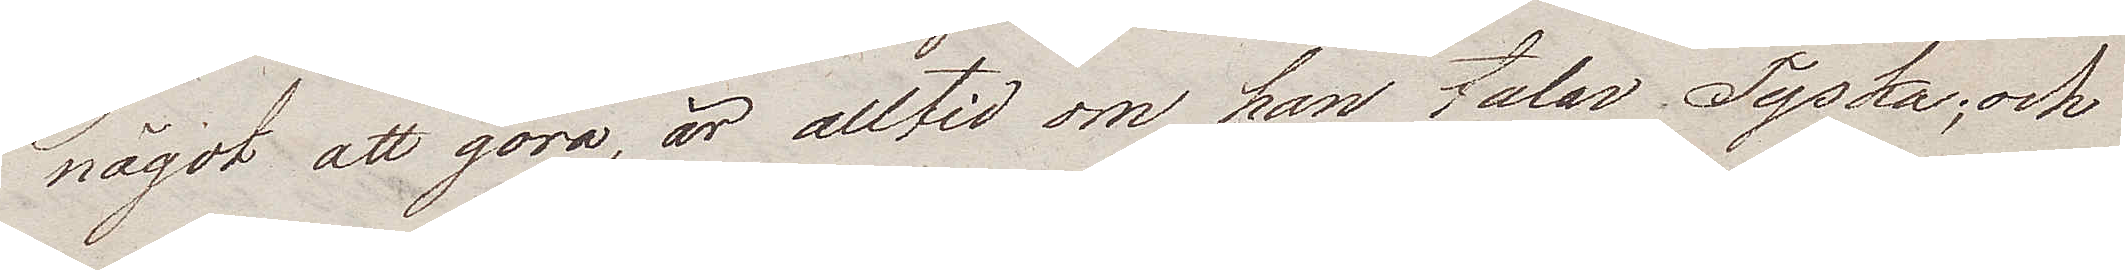något att göra, är alltid om han talar Tyska; och
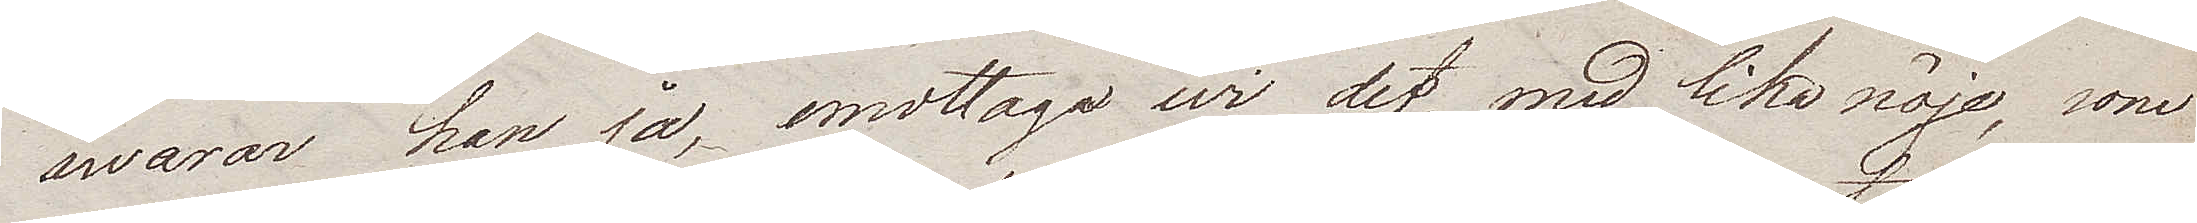swarar kan ja, emottaga wi det med lika nöje, som
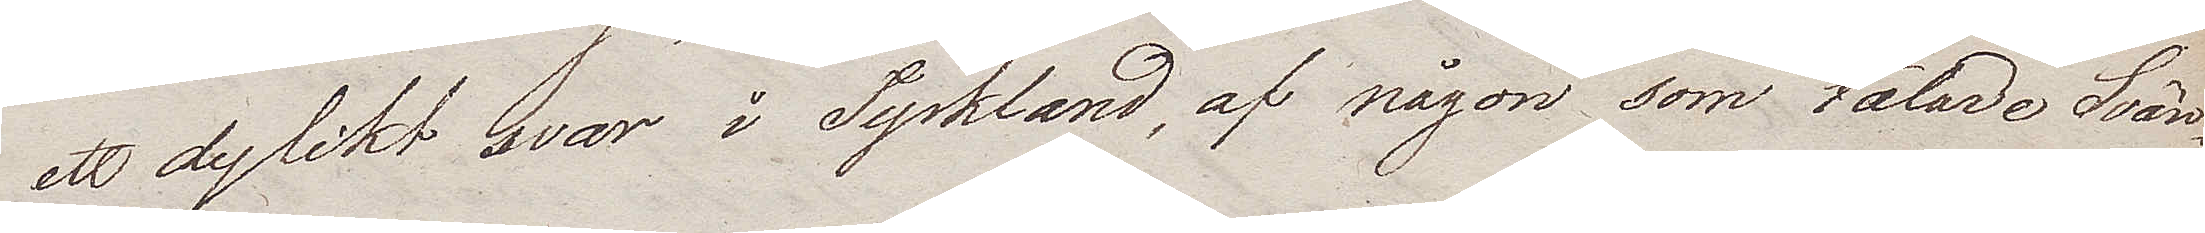ett dylikt svar i Tyskland, af någon som talade Svän¬
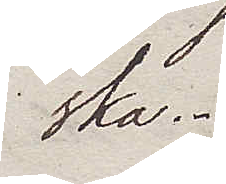ska.
